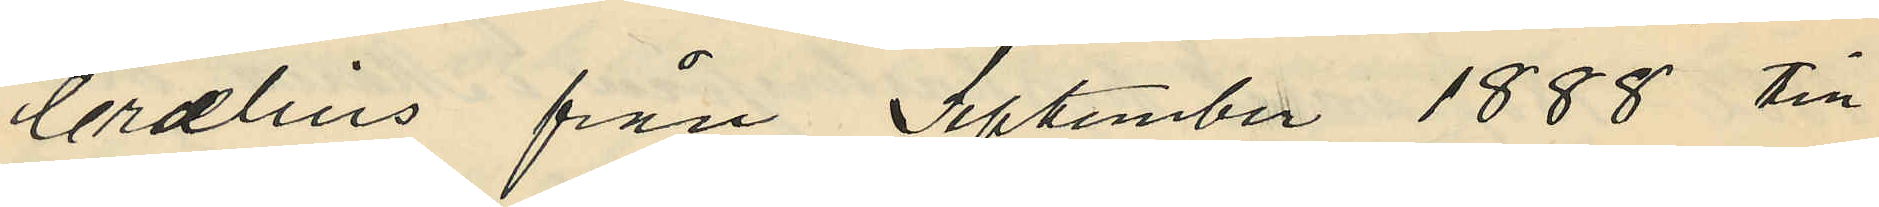Crælius från September 1888 till
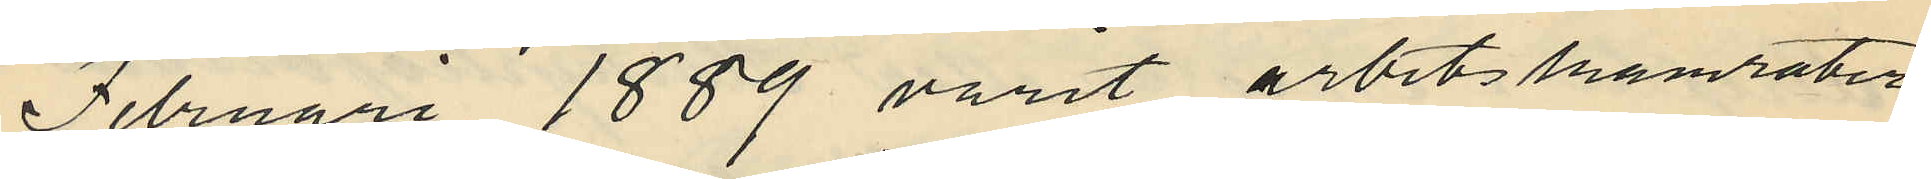Februari 1889 varit arbetskamrater
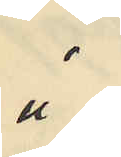å
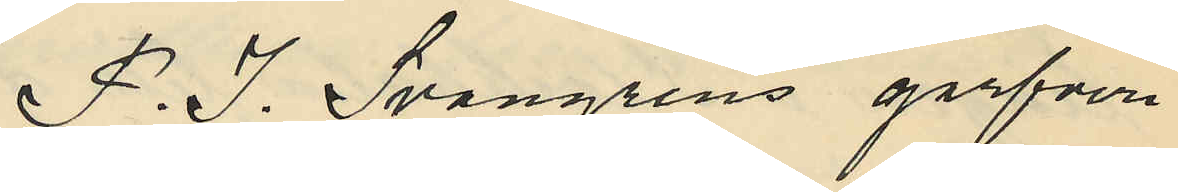F. S. Svangrens garfveri
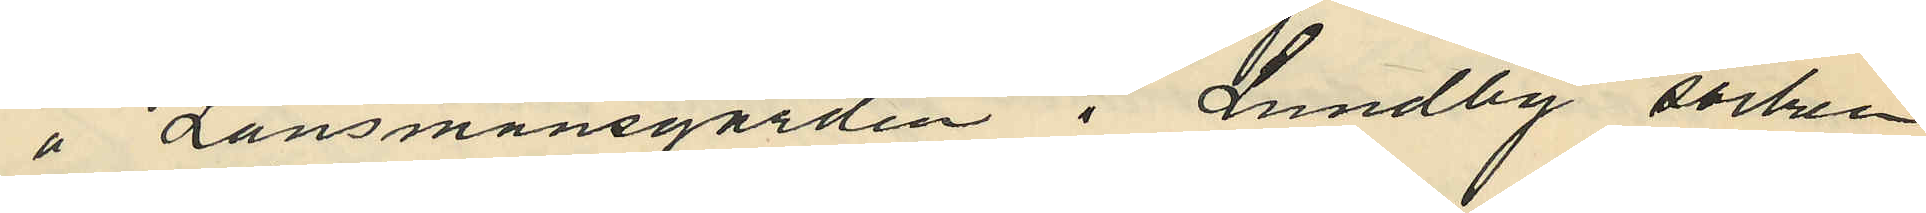å Länsmansgården i Lundby socken
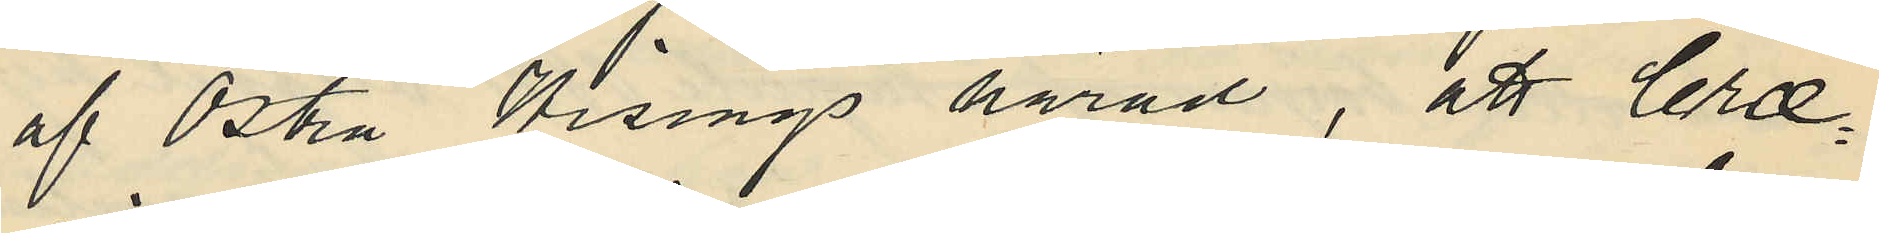af Östra Hisings härad, att Cræ¬
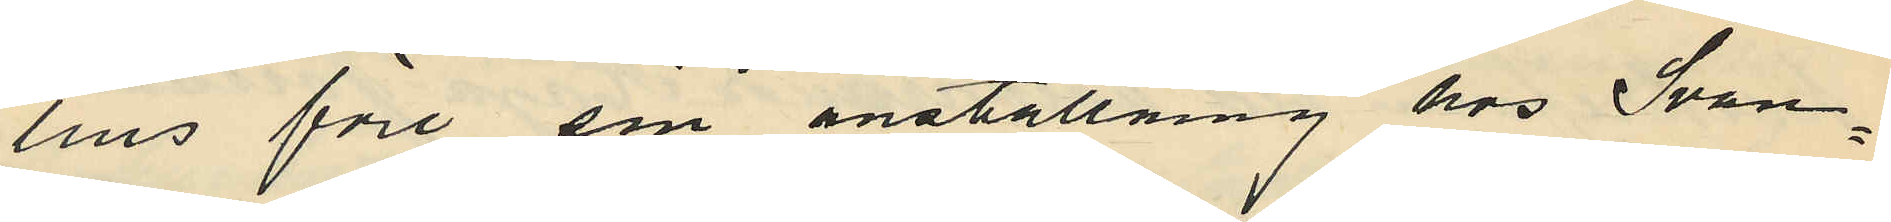lius före sin anställning hos Svan¬
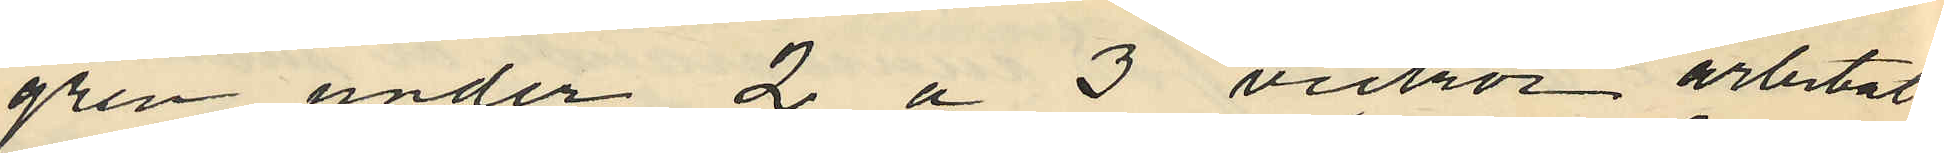gren under 2 á 3 veckor arbetat
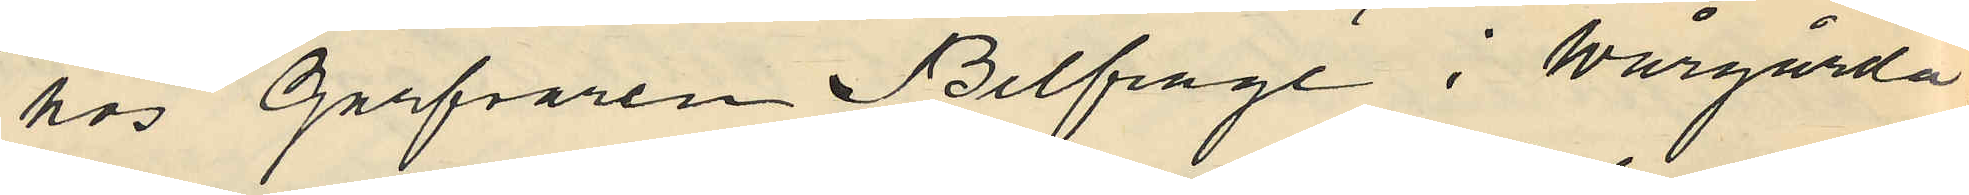hos Garfvaren Belfrage i Wårgårda
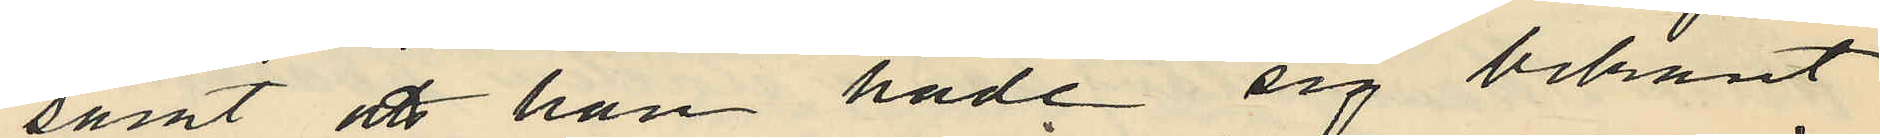samt att han hade sig bekant
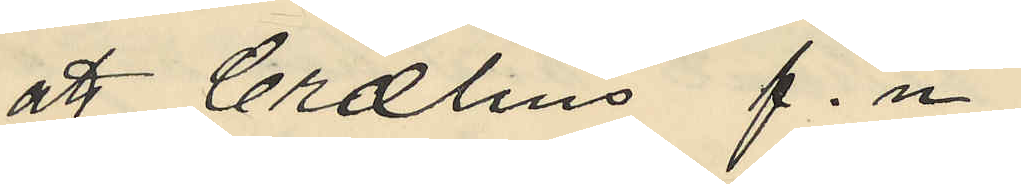att Crælius f.n
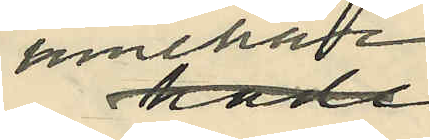innehade
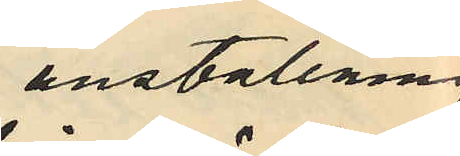anställning
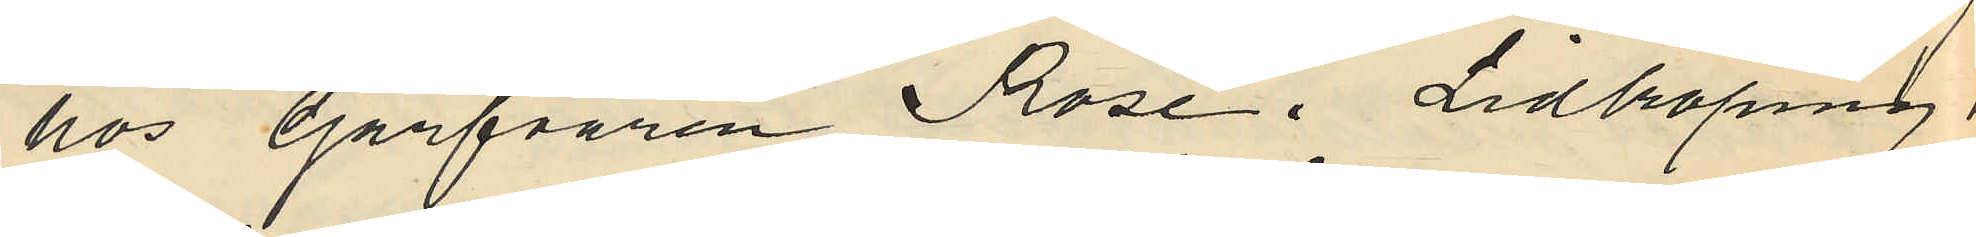hos Garfvaren Rose i Lidköping
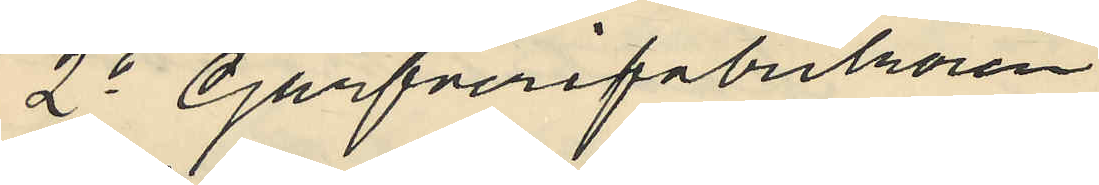2o Garfverifabrikören
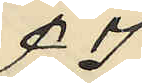F J
